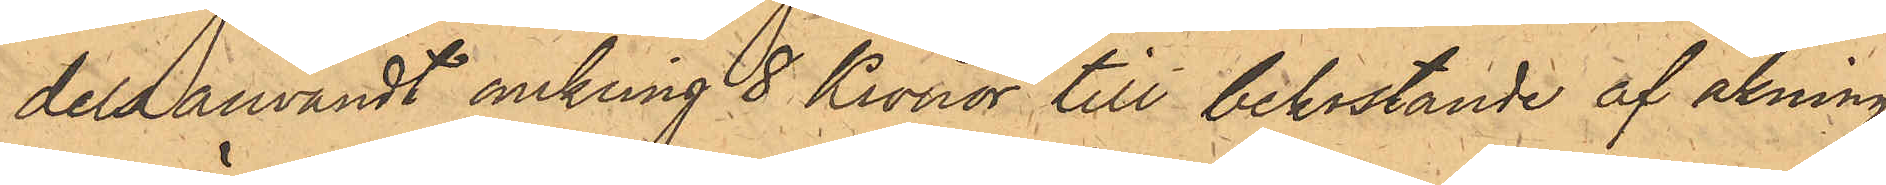dels användt omkring 8 Kronor till bekostande af åkning
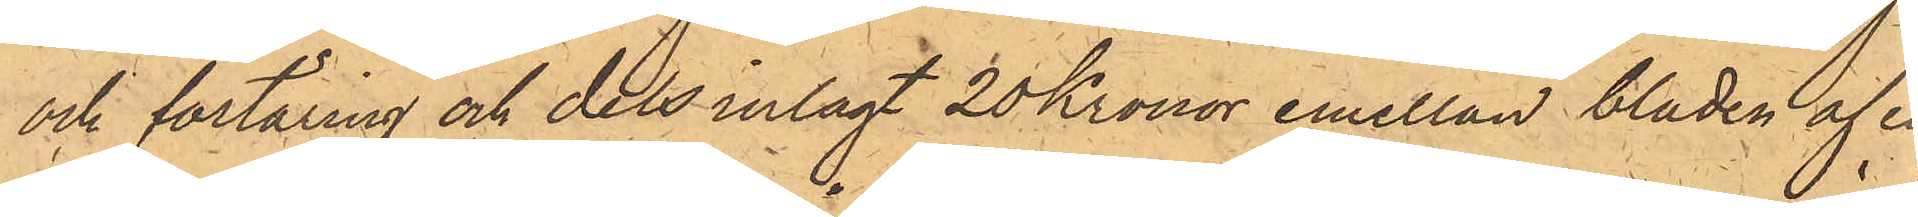och förtäring och dels inlagt 20 Kronor emellan bladen af en
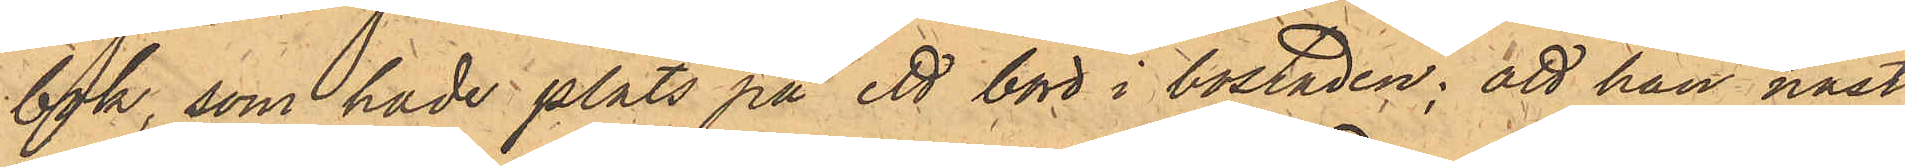bok, som hade plats på ett bord i bostaden; att han näst¬
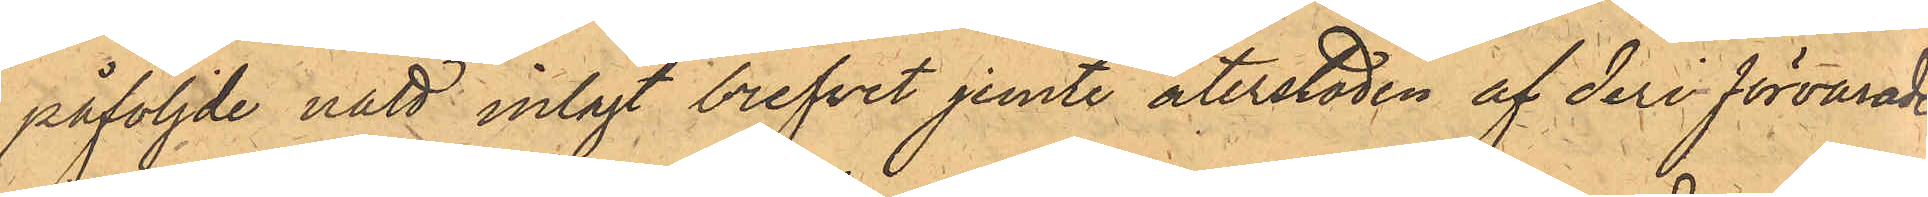påföljde natt inlagt brefvet jemte återstoden af deri förvarade
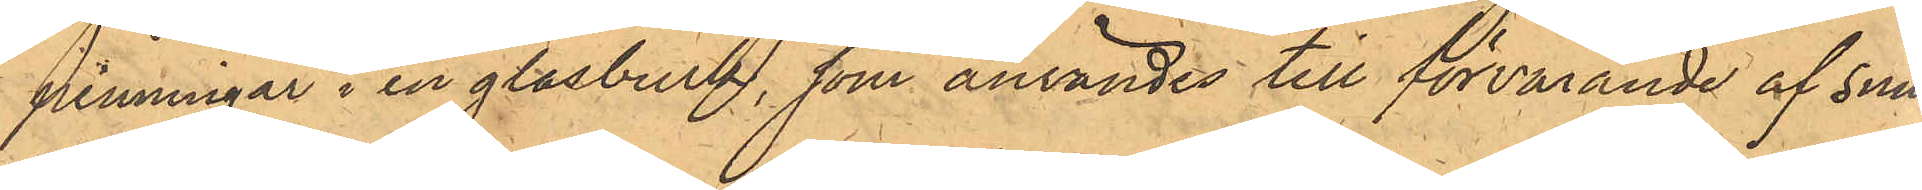penningar i en glasburk, som användes till förvarande af snus,
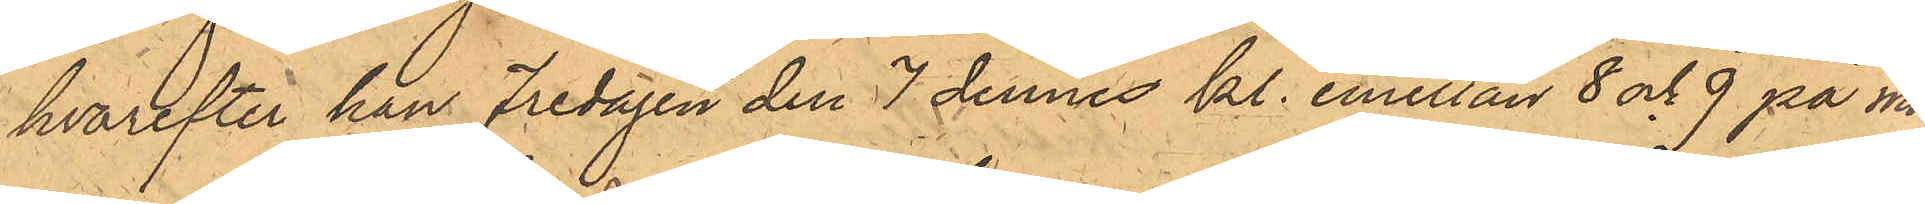hvarefter han Fredagen den 7 dennes kl. emellan 8 och 9 på mor¬
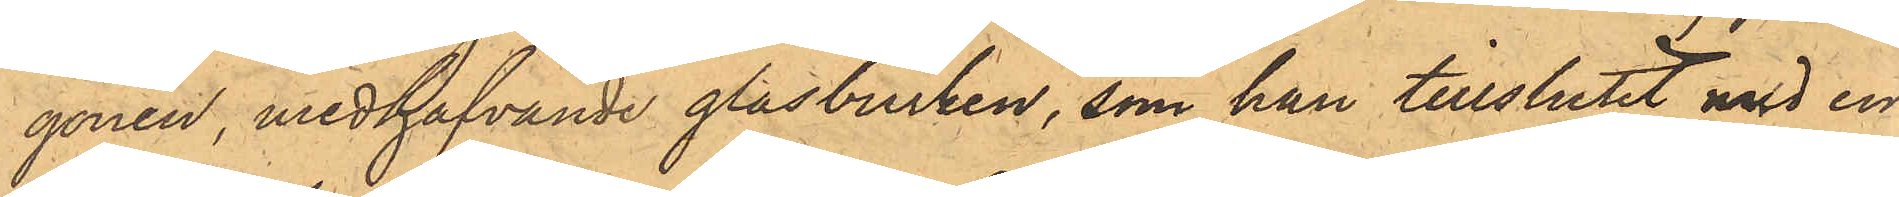gonen, medhafvande glasburken, som han tillslutit med en
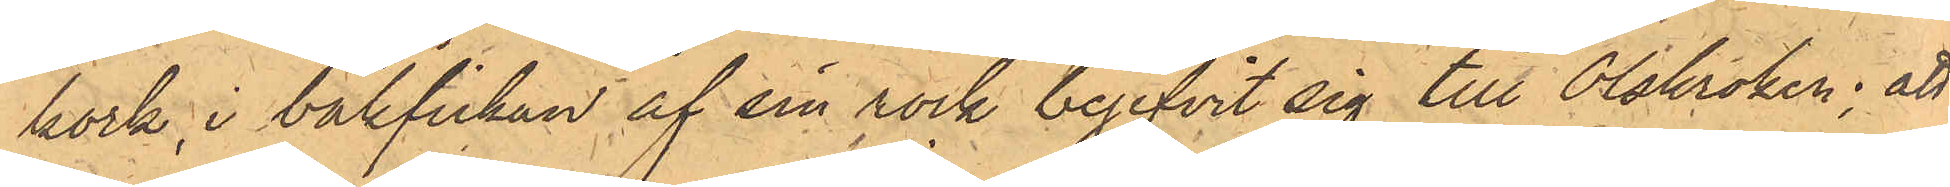kork, i bakfickan af sin rock begifvit sig till Olskroken; att
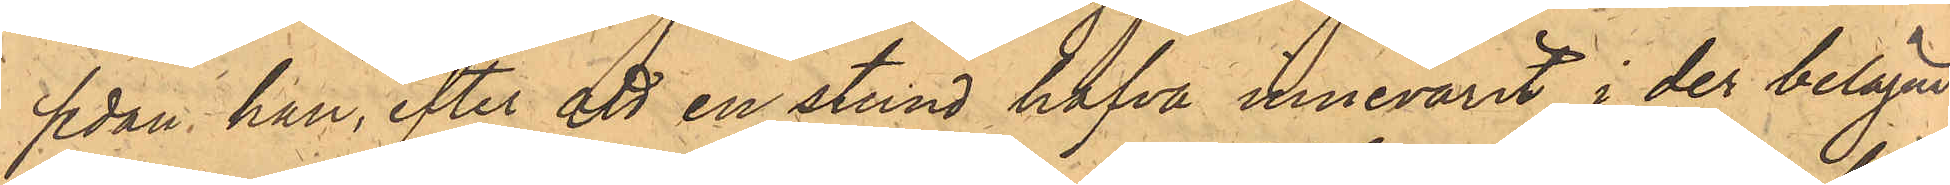sedan han, efter att en stund hafva innevarit i der belägne
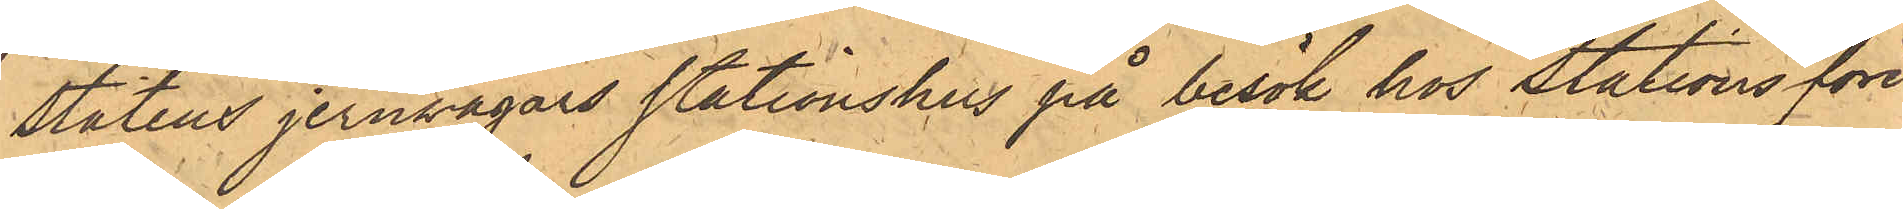Statens Jernsvägars stationshus på besök hos Stationsföre¬
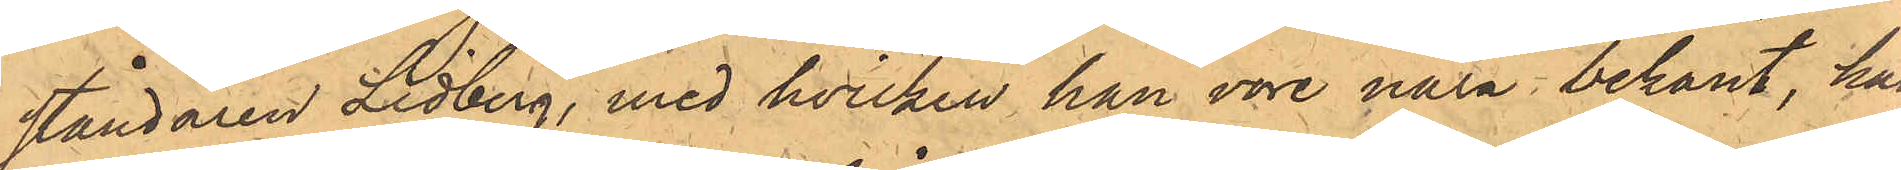ståndaren Lidberg, med hvilken han vore nära bekant, han
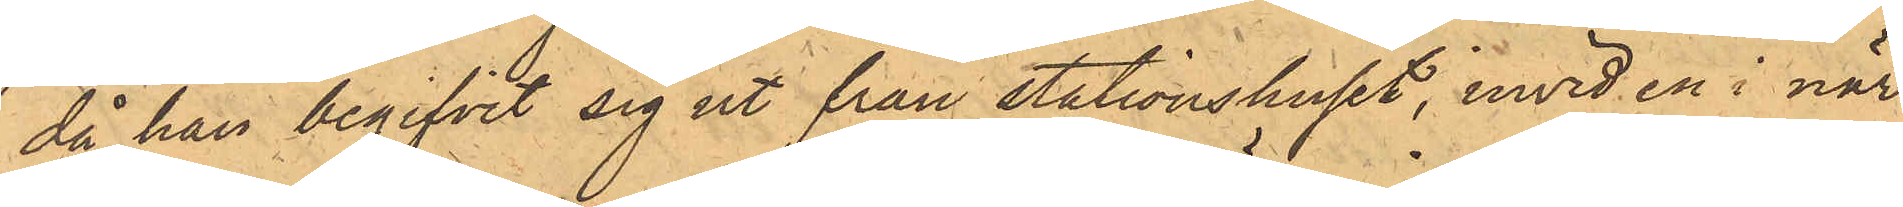då han begifvit sig ut från stationshuset, invid en i när¬
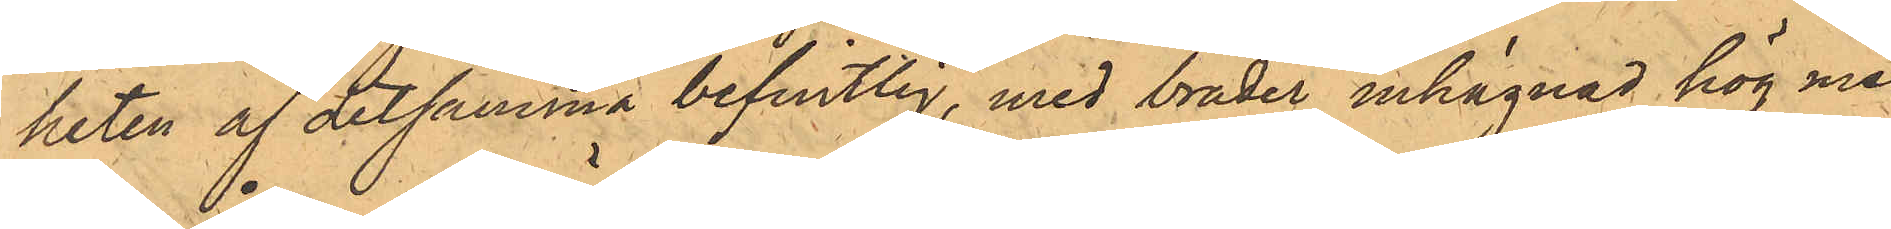heten af detsamma befintlig, med bräder inhägnad hög med
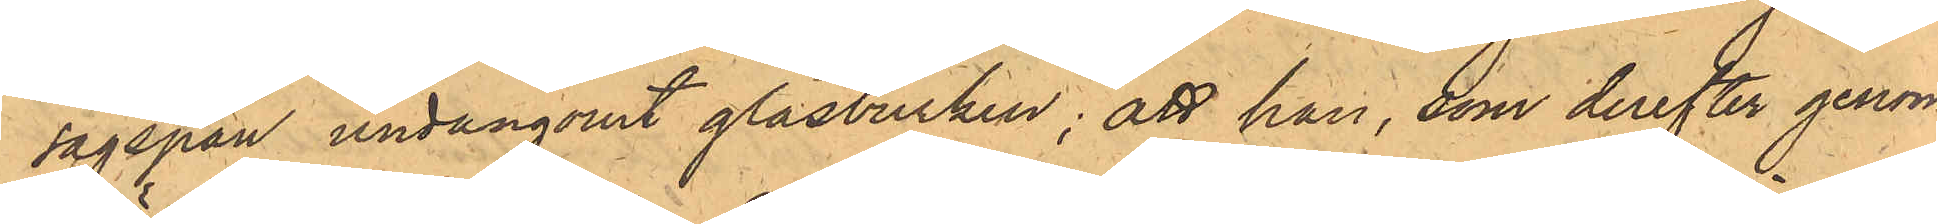sågspån undangömt glasburken; att han, som derefter genom
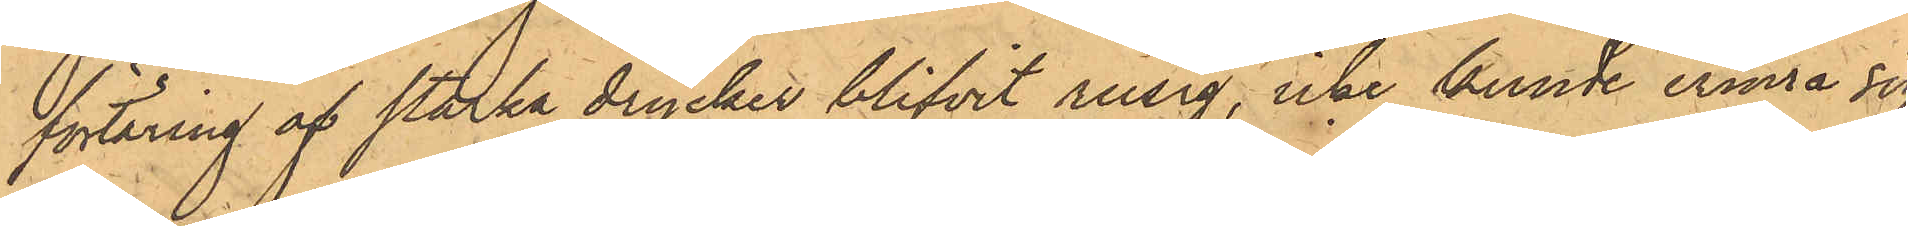förtäring af starka drycker blifvit rusig, icke kunde erinra sig
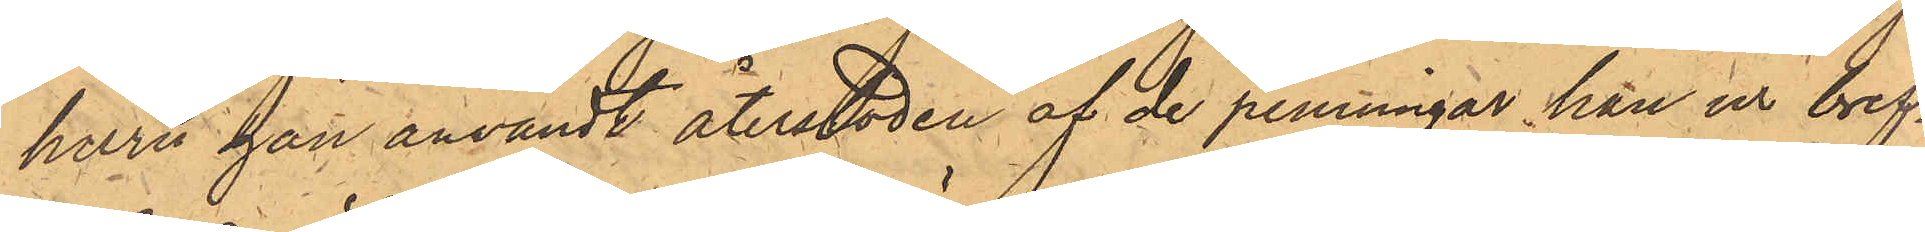huru han användt återstoden af de penningar han ur bref¬
